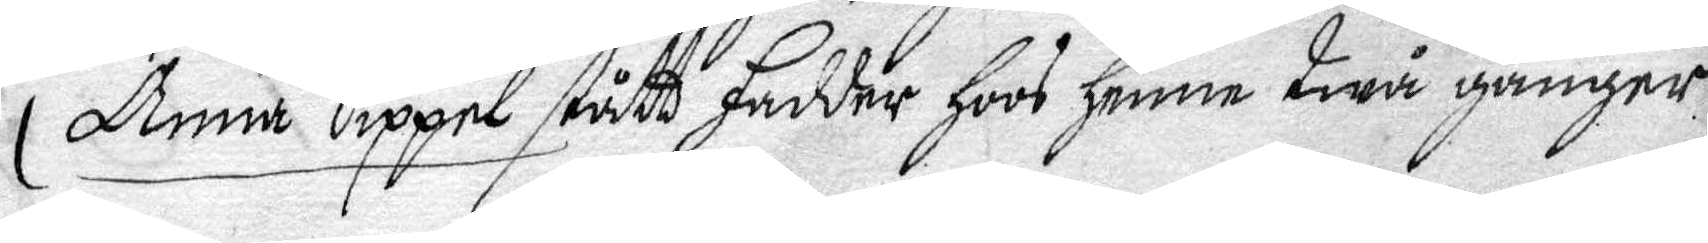Anna Sippel stått fadder hoos henne twå gånger
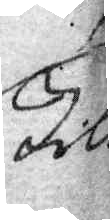till
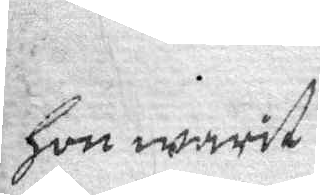hon warit
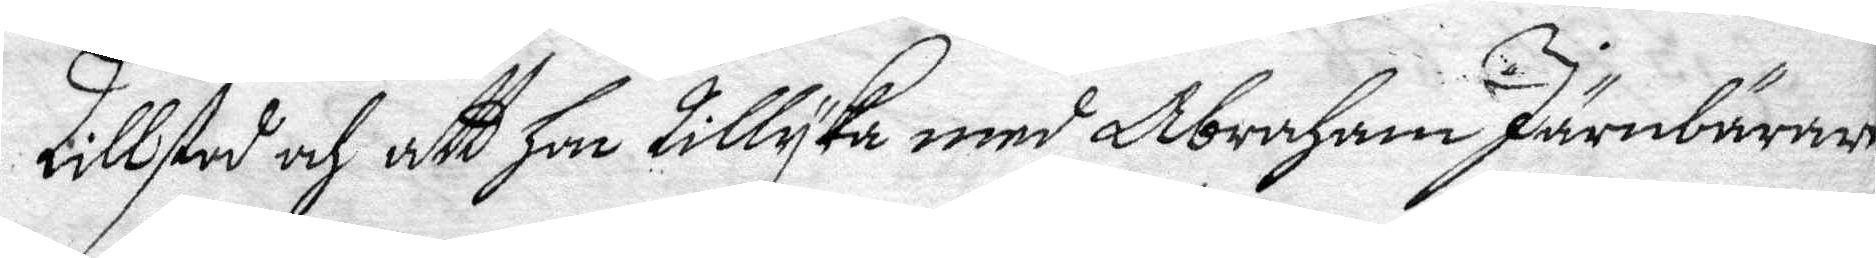Tillstod och att hon tillyka med Abraham Järnbärare
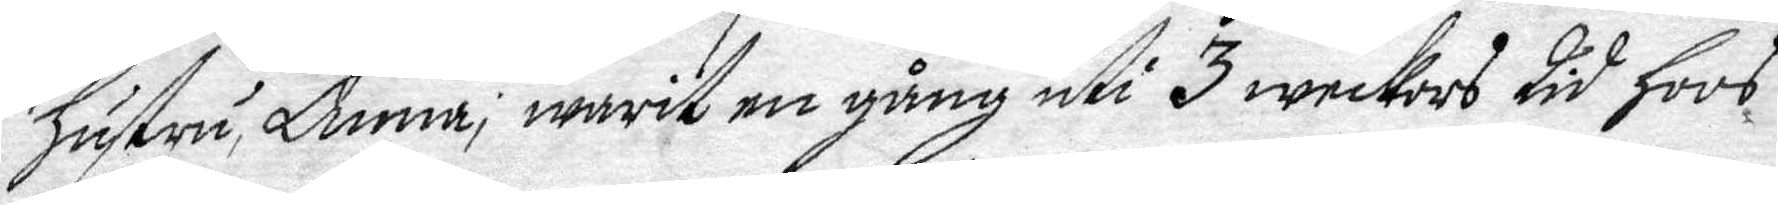hsutru Anna; warit en gång uti 3 weckors tid hoos
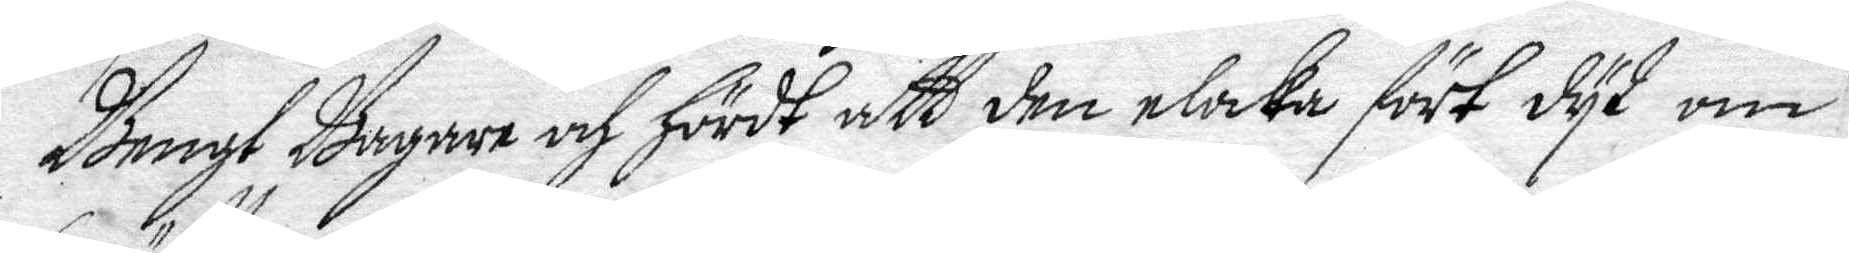Bengt Bagare och hördt att den elaka först dyt om
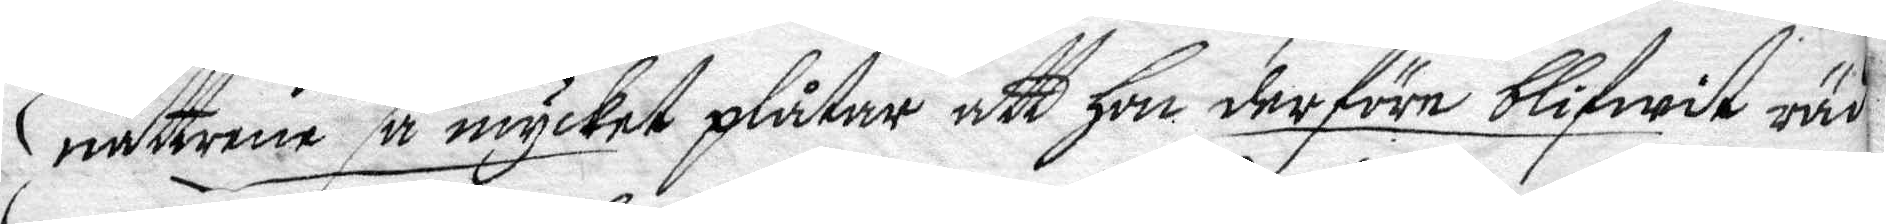nätterne så mycket plåtar att hon derföre blifwit räd¬
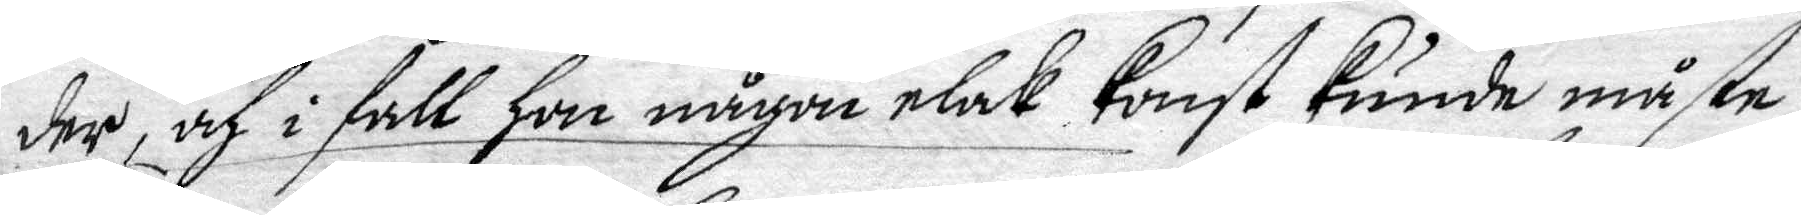der, och i fall hon någon elak konst kunde måste
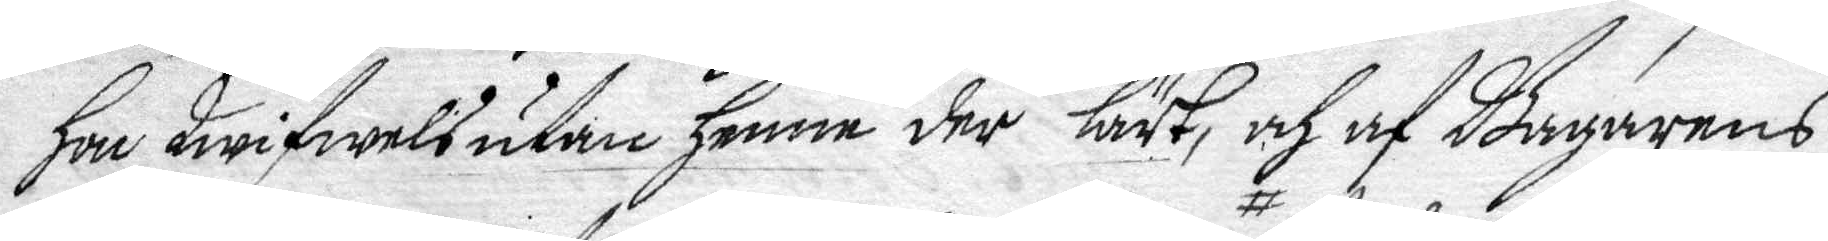hon twifwelsuthan henne der lärt, och af Bagarens
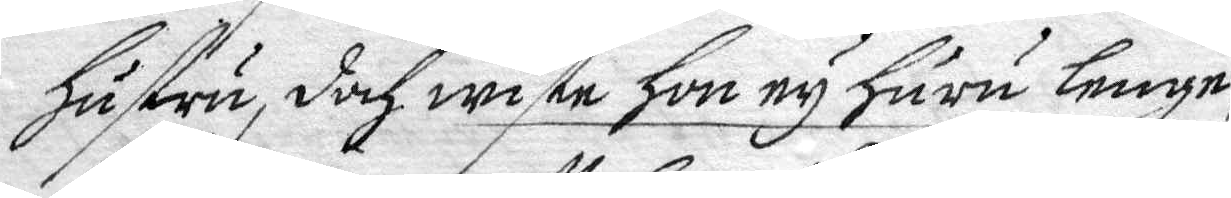hsustru, doch wiste hon ey huru lenge
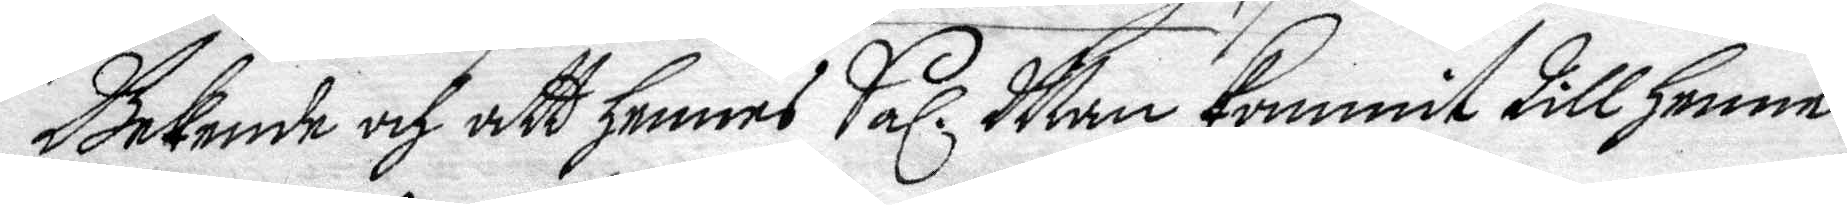Bekende och att hennes Sal. Man kommit till henne
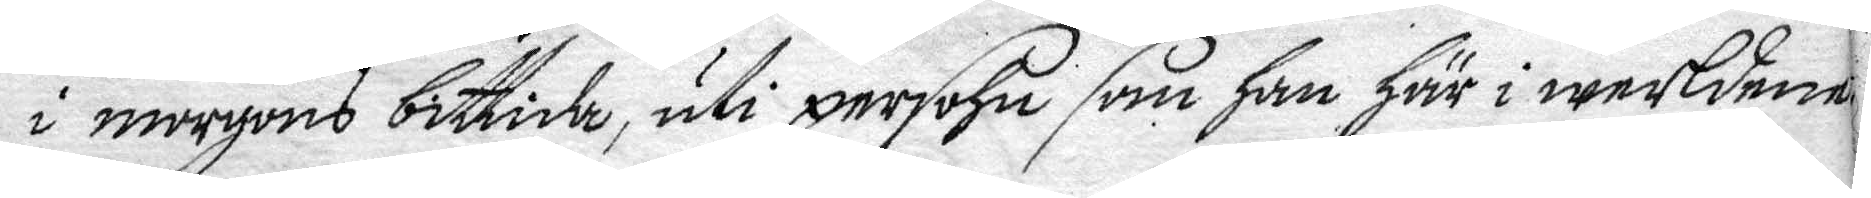i morgons bittida, uti persohn som han här i werlden
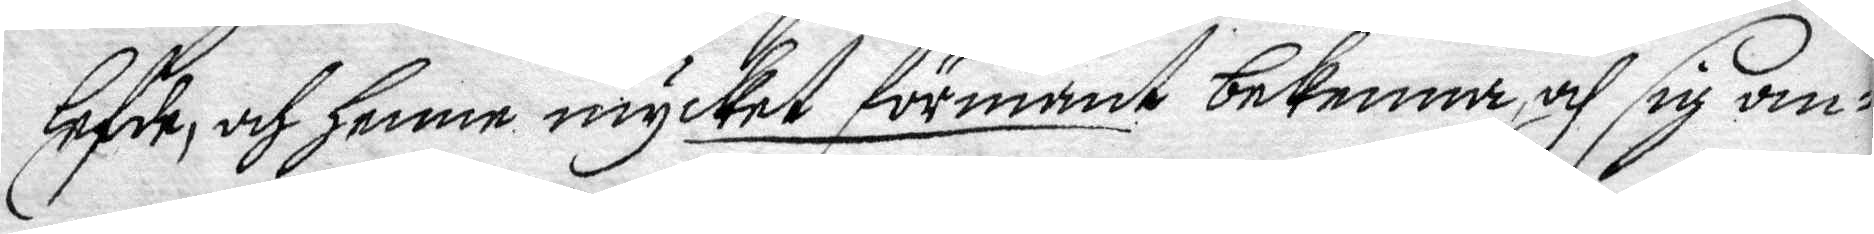lefde, och hnne mycket förmant bekenna och sig om¬
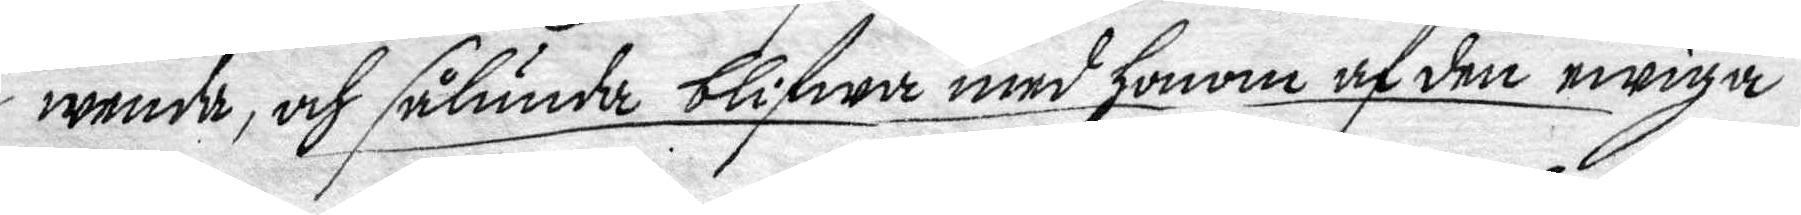wenda, och sålunda blifwa med honom af den ewiga
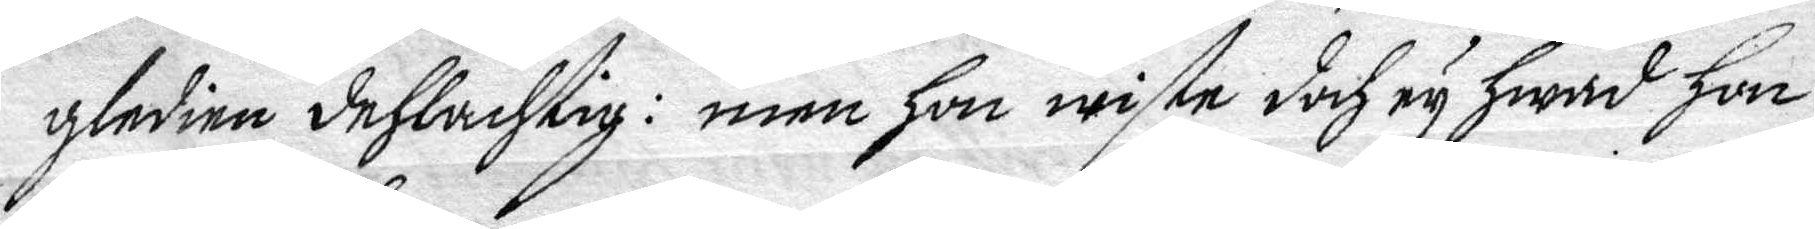gledien dehlachtig: men hon wiste doch ey hwad hon
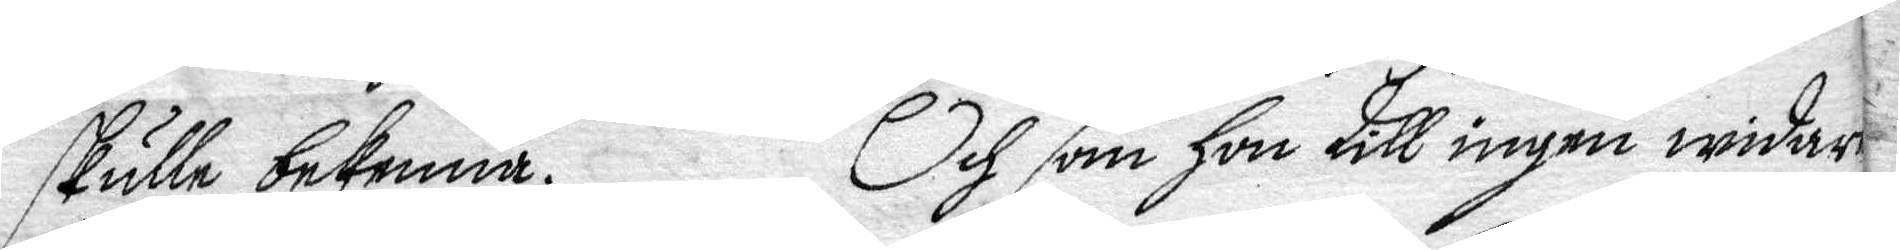skulle bekenna. Och som hon till ingen widare
